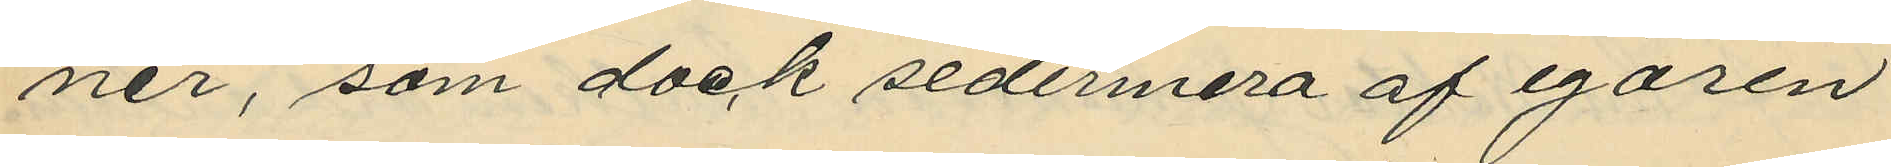ner, som dock sedermera af egaren
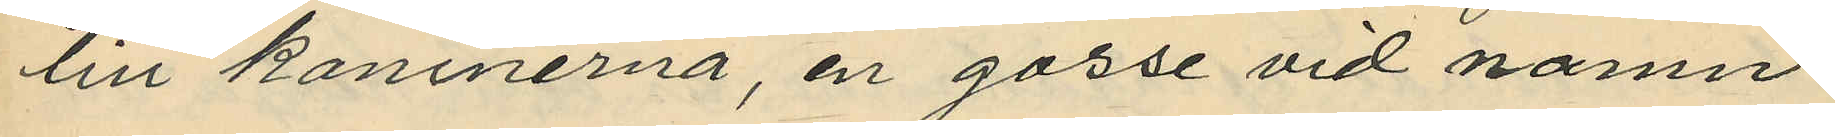till kaninerna, en gosse vid namn
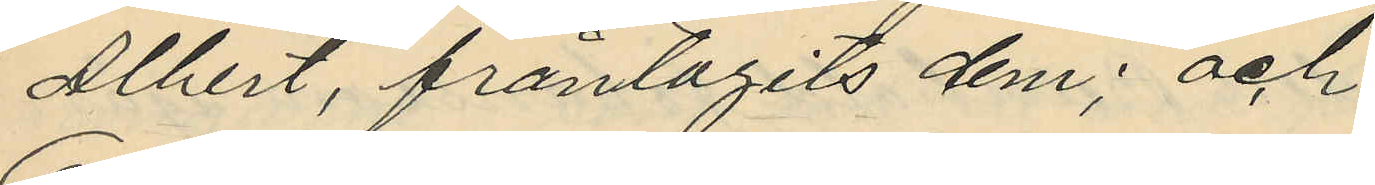Albert, fråntagits dem; och
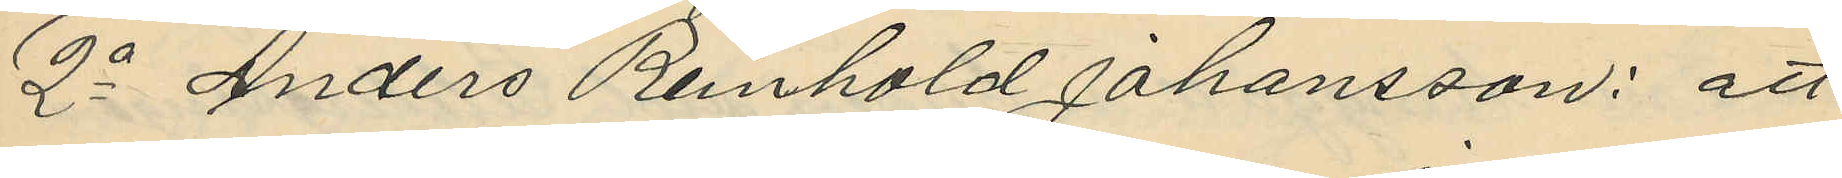2o Anders Reinhold Johansson: att
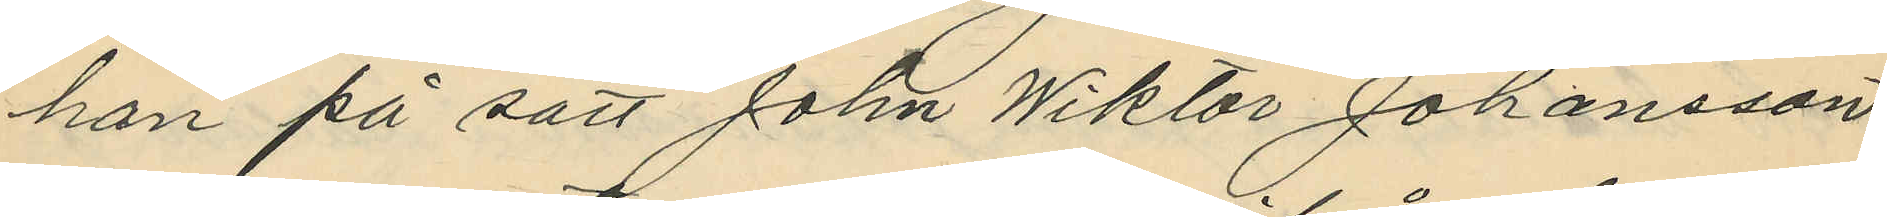han på sätt John Wiktor Johansson
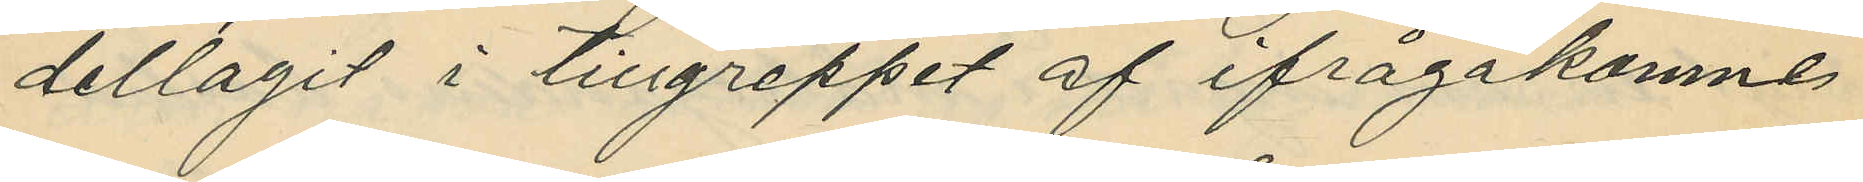deltagit i tillgreppet af ifrågakomne
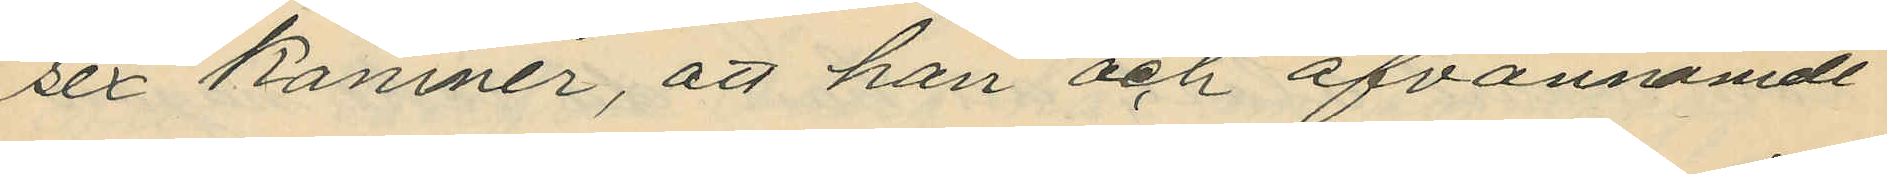sex Kaniner, att han och ofvannämde
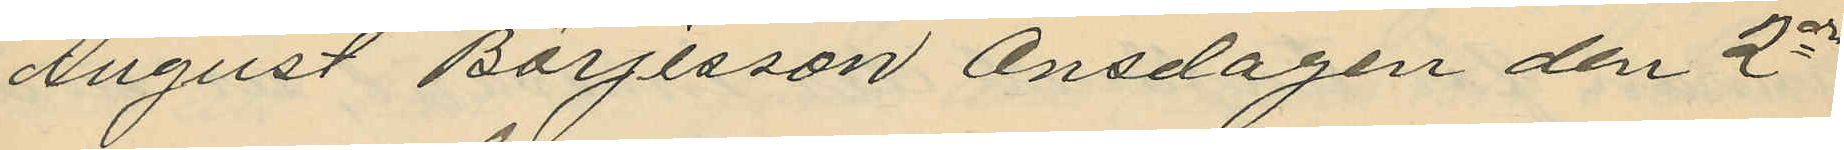August Börjesson Onsdagen den 2dra
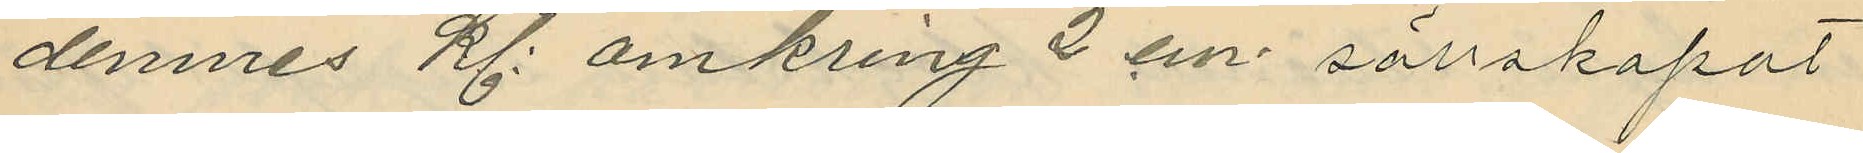dennes kl. omkring 2 em sällskapat
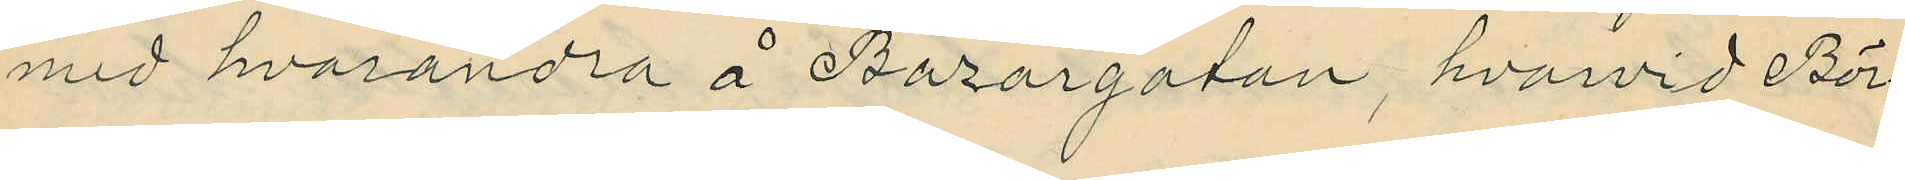med hvarandra å Bazargatan, hvarvid Bör¬
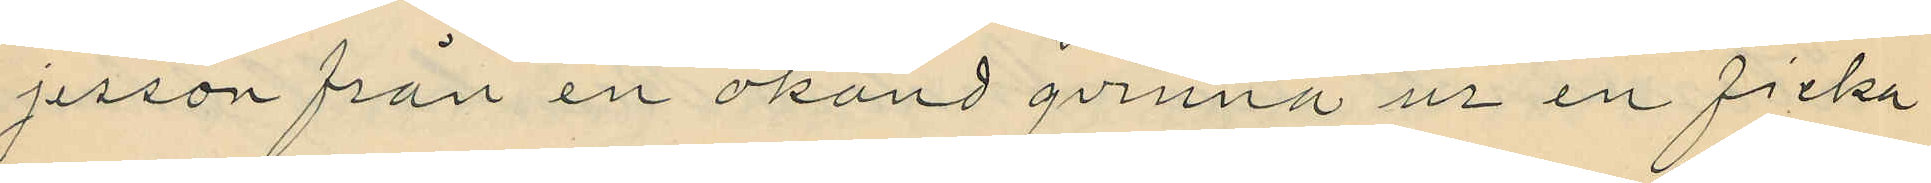jesson från en okänd qvinna ur en ficka
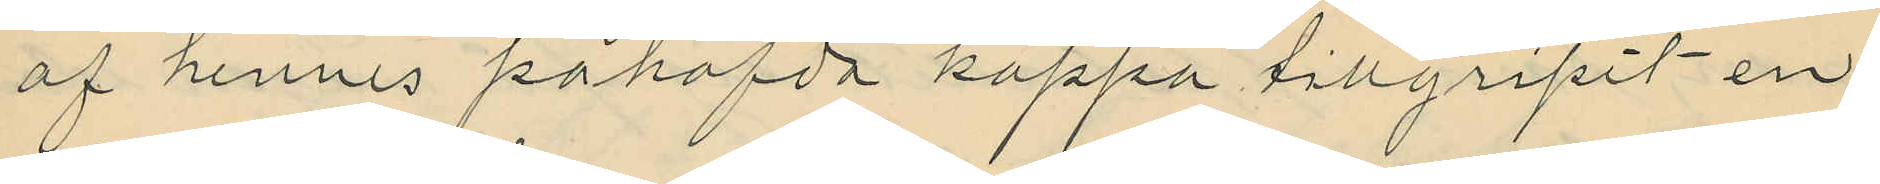af hennes påhafda kappa tillgripit en
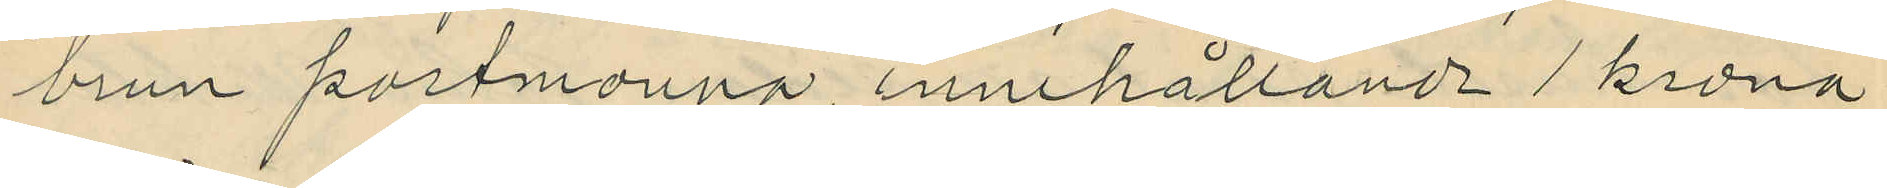brun portmonnä innehållande 1 krona
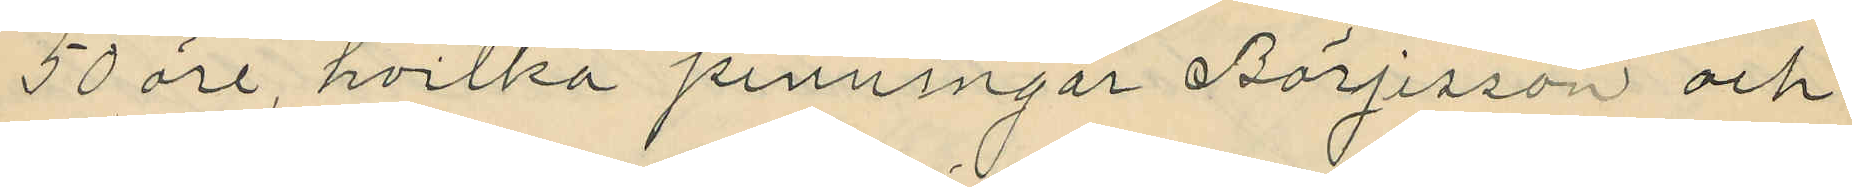50 öre, hvilka penningar Börjesson och
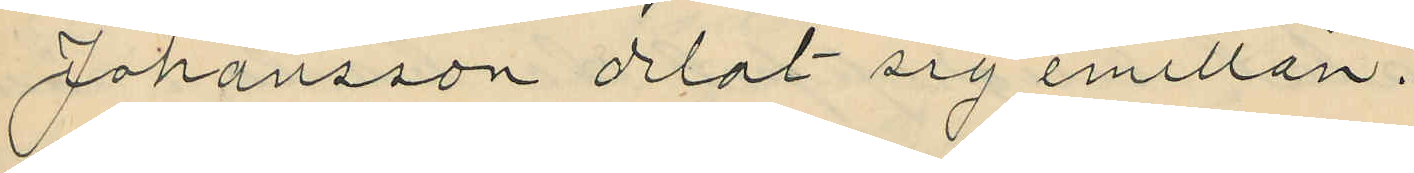Johansson delat sig emellan.
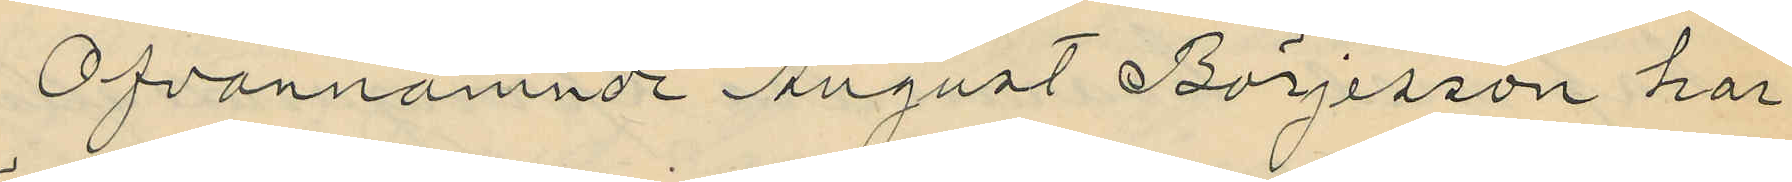Ofvannämnde August Börjesson har
